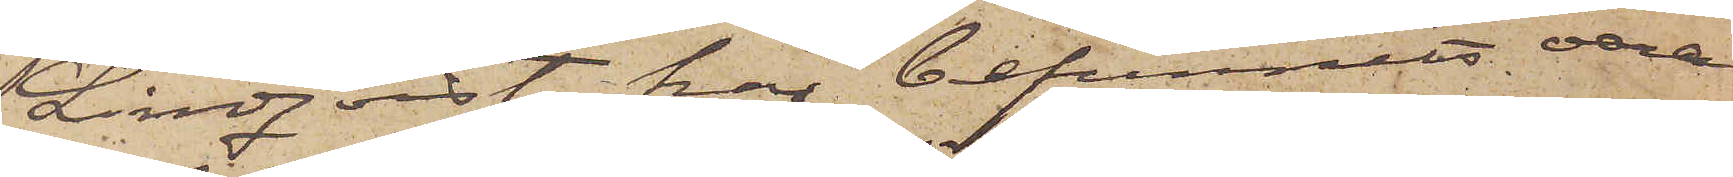Lindqvist har befunnits vara
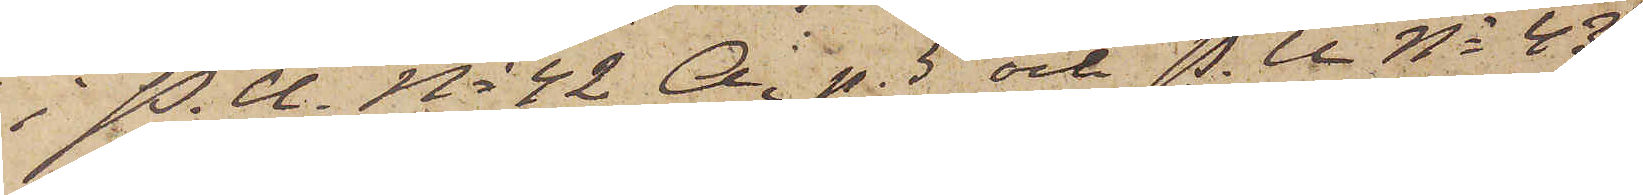i P. U. No 42 A. p. 5 och P. U No 43
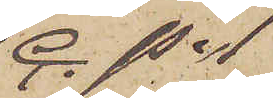C. p. 1
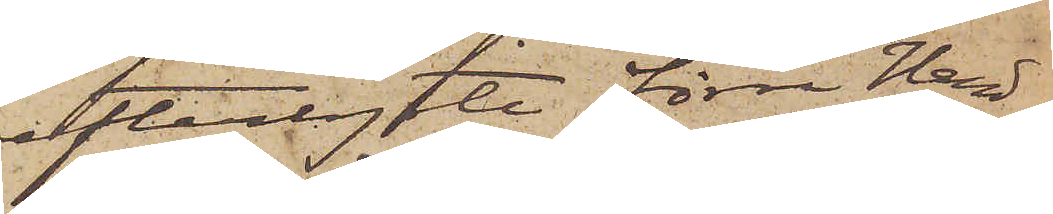efterlyste förre Hand¬
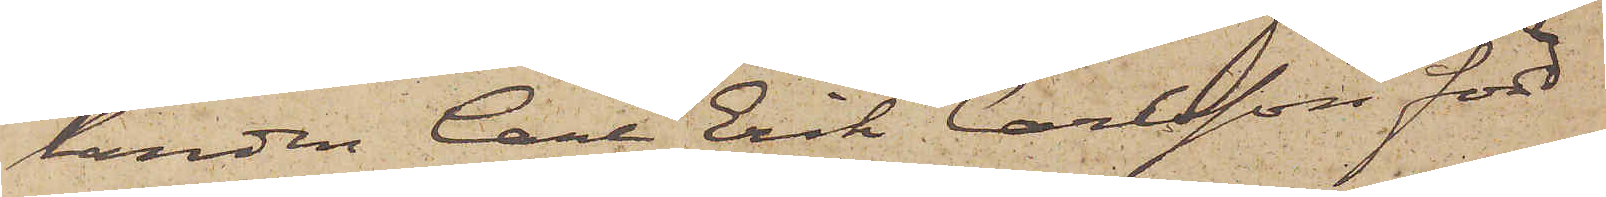landen Carl Erik Carlsson född
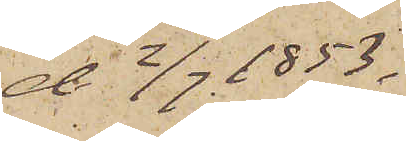d 2/7 1853.
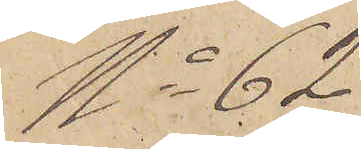No 62
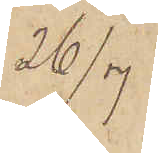26/7
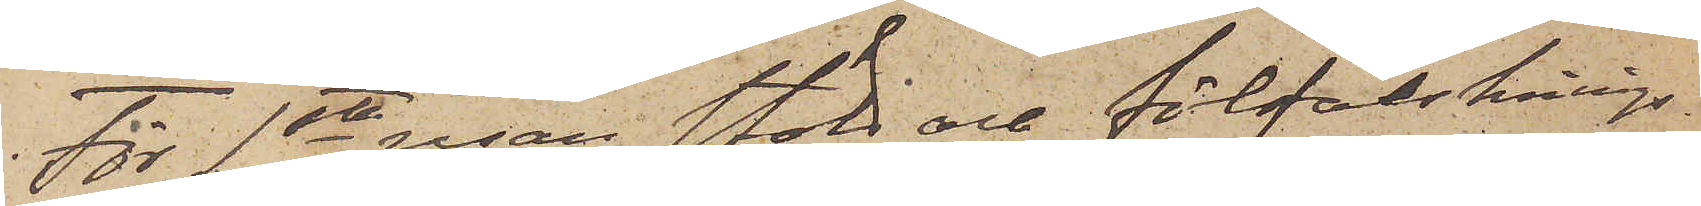För 1sta resan stöld och förfalsknings¬
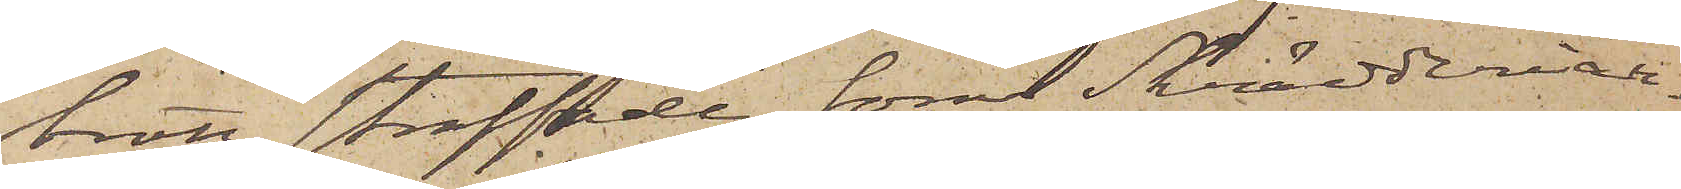brott straffade förre Skrädderiar¬
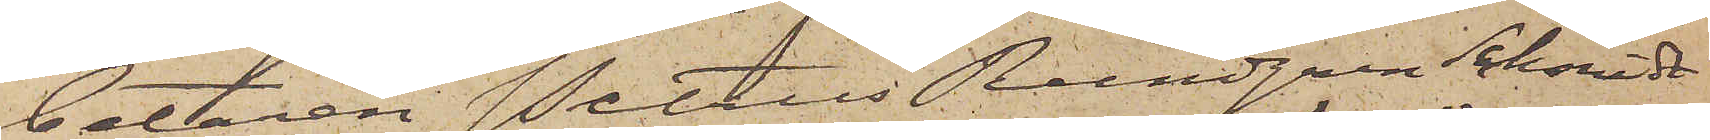betaren Petrus Rundgren Schmidt
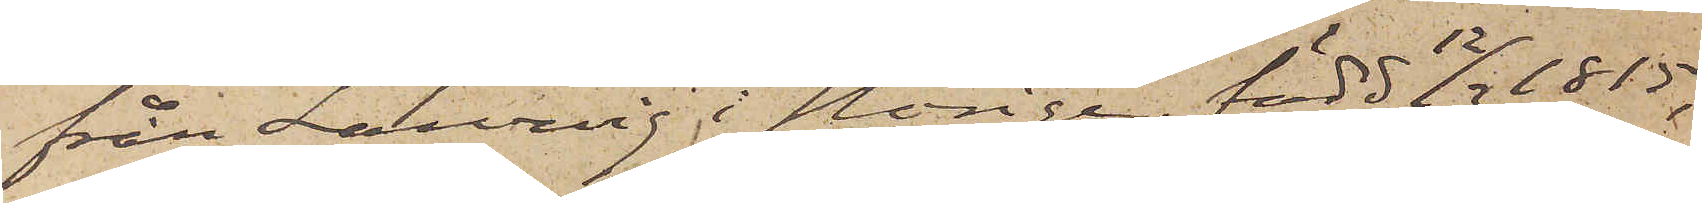från Laurvig i Norige, född 12/3 1815,
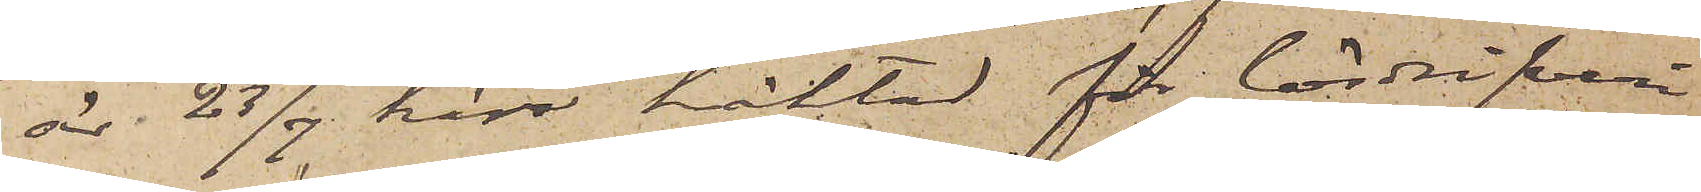är 23/7 här häktad för lösdrifveri
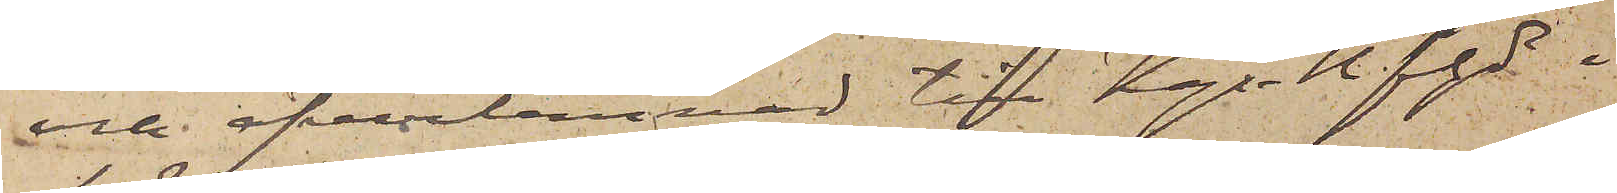och öfverlemnad till Kgs Bhfhde i
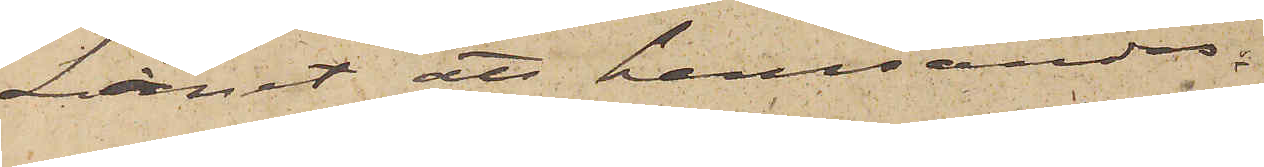Länet att hemsändas.
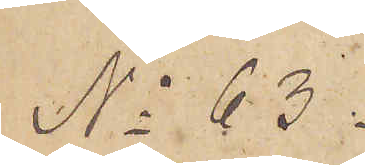No 63.
